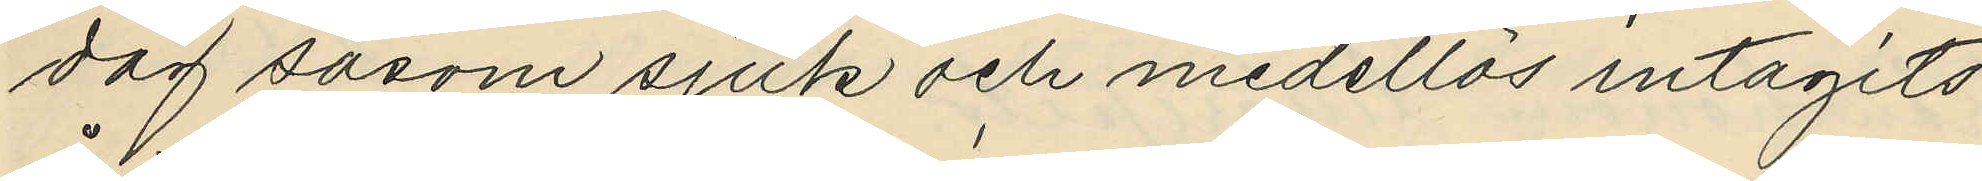dag såsom sjuk och medellös intagits
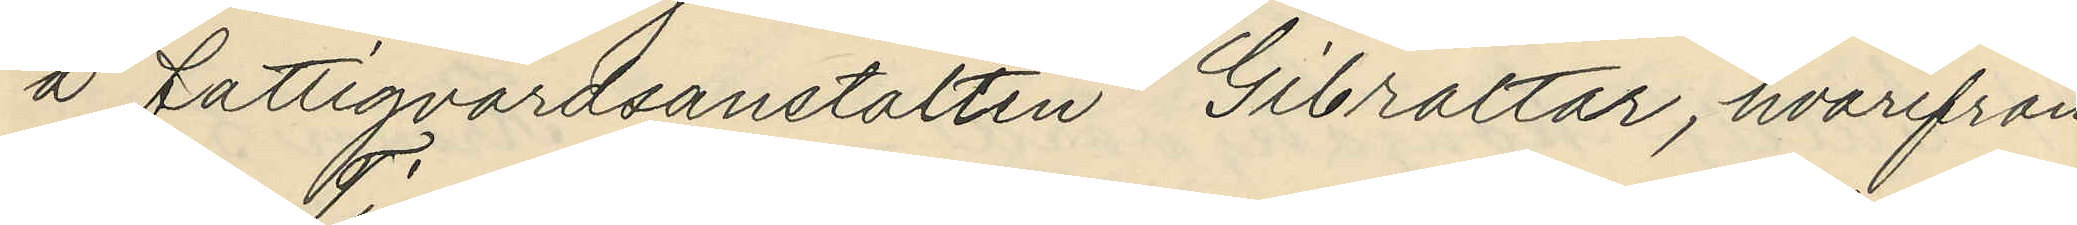å fattigvårdsanstalten Gibraltar, hvarifrån
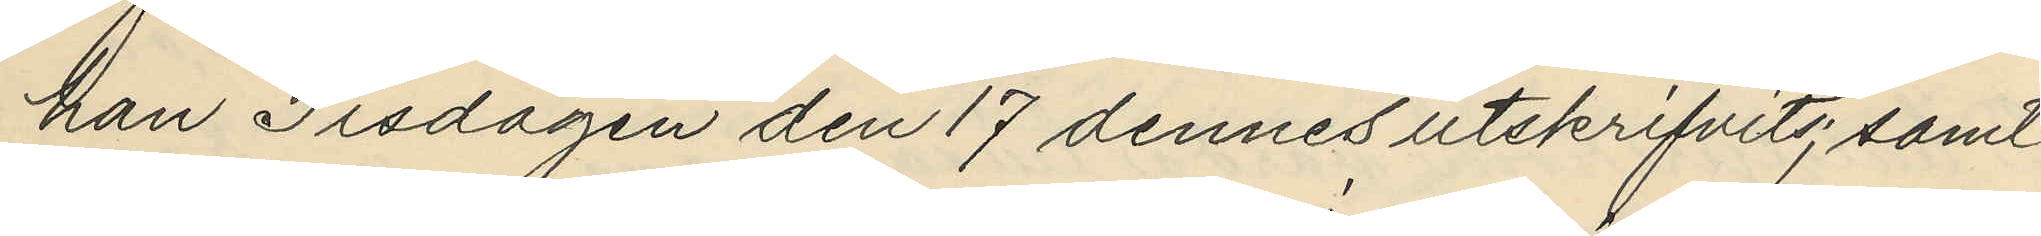han Tisdagen den 17 dennes utskrifvits; samt
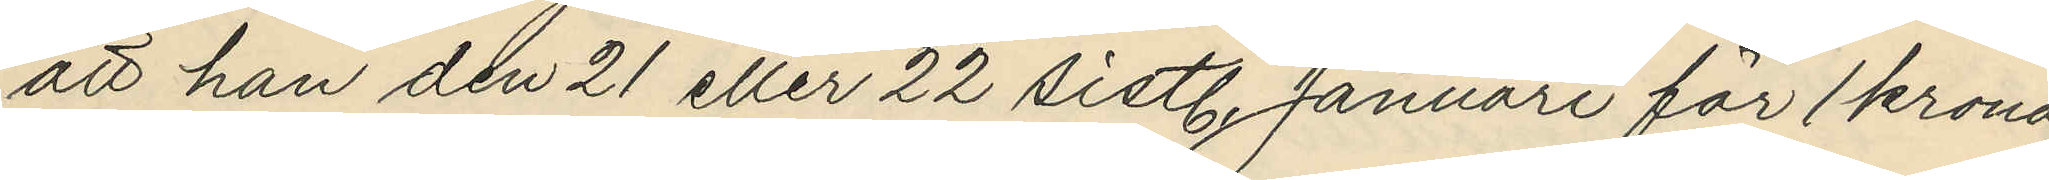att han den 21 eller 22 sistl. Januari för 1 krona
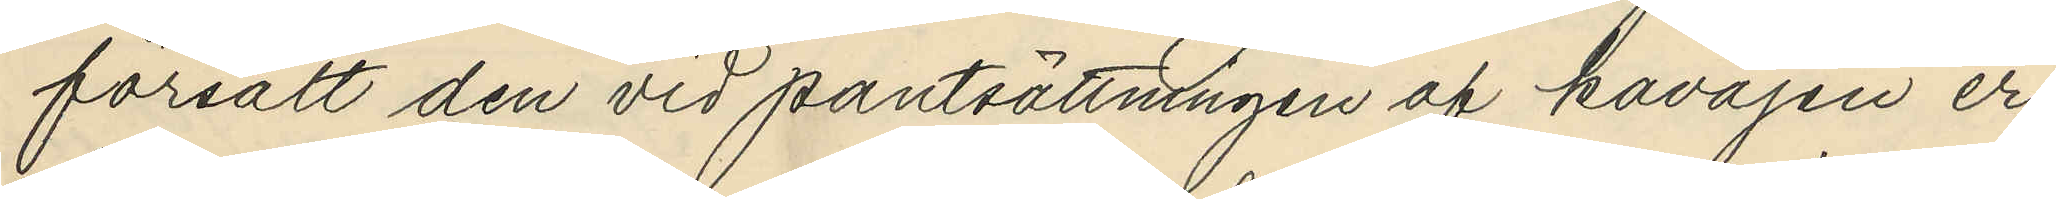försålt den vid pantsättningen af kavajen er¬
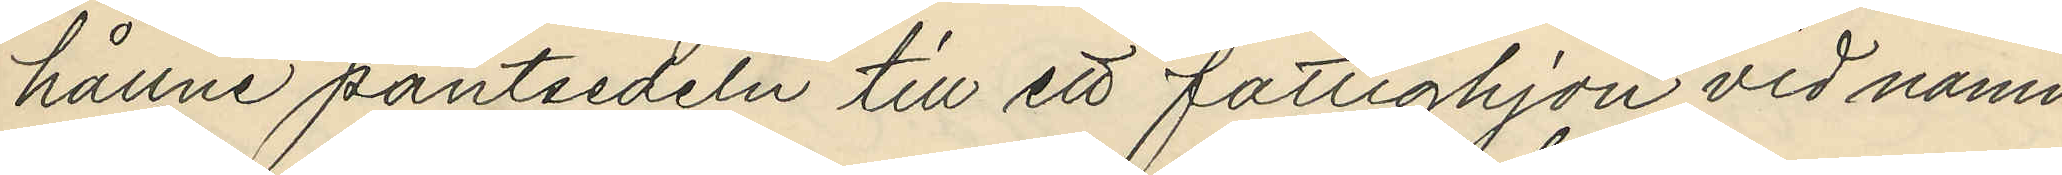hållne pantsedeln till ett fattighjon vid namn
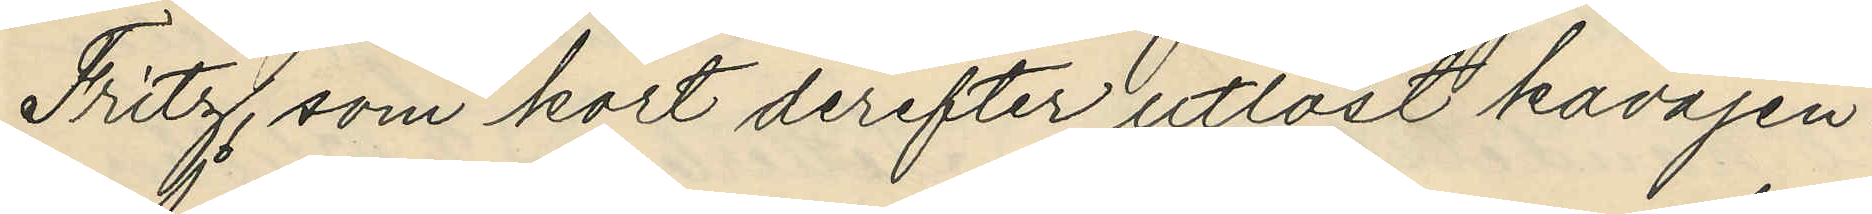Fritz, som kort derefter utlöst kavajen.
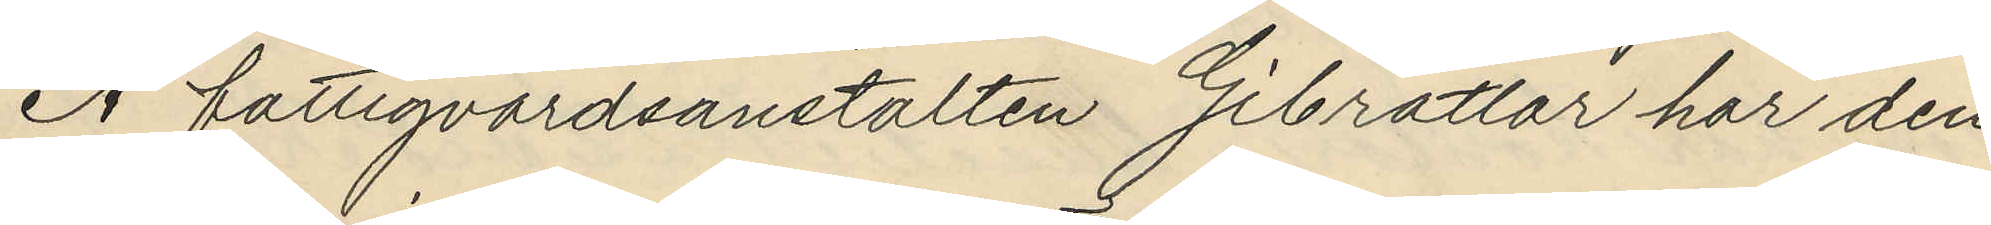Å fattigvårdsanstalten Gibratlar har den
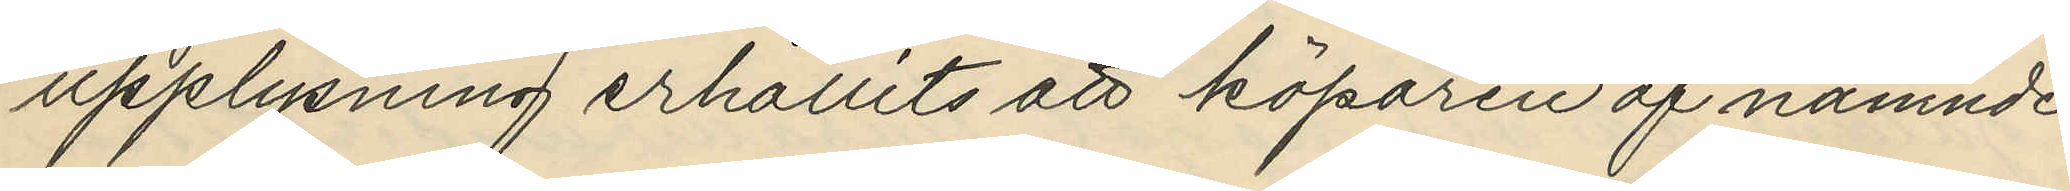upplysning erhållits att köparen af nämnde
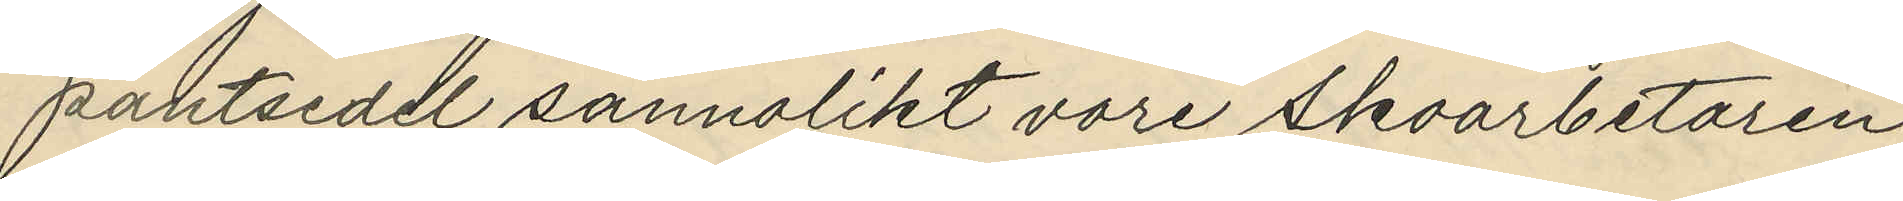pantsedel sannolikt vore Skoarbetaren
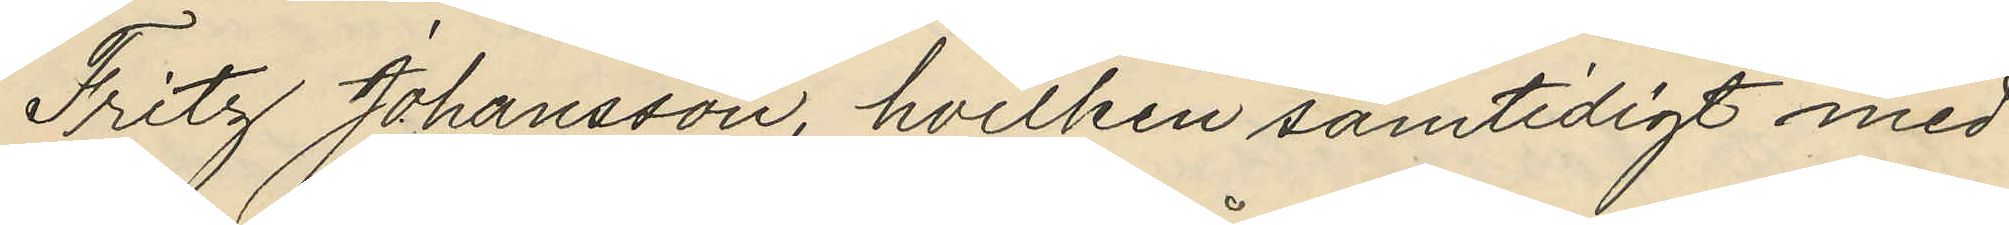Fritz Johansson, hvilken samtidigt med 
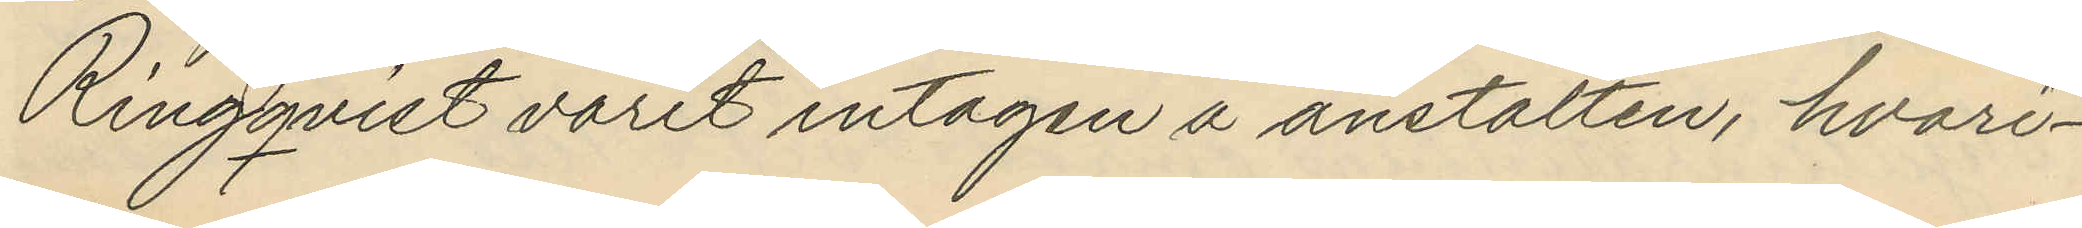Ringqvist varit intagen å anstalten, hvari¬
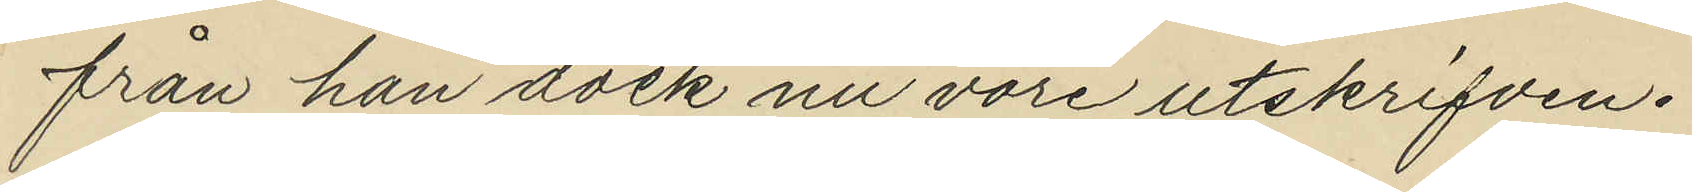från han dock nu vore utskrifven.
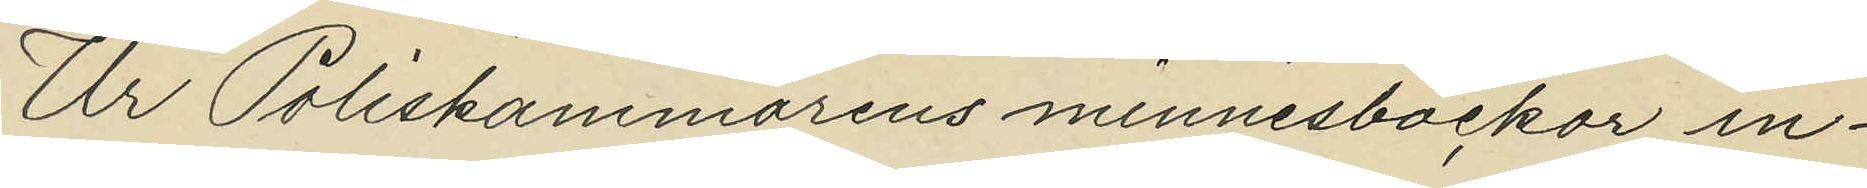Ur Poliskammarens minnesböckor in¬
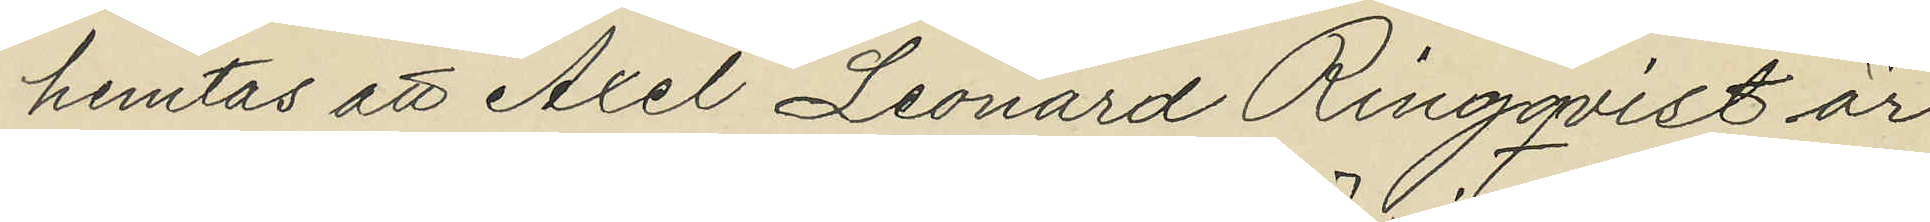hemtas att Axel Leonard Ringqvist är
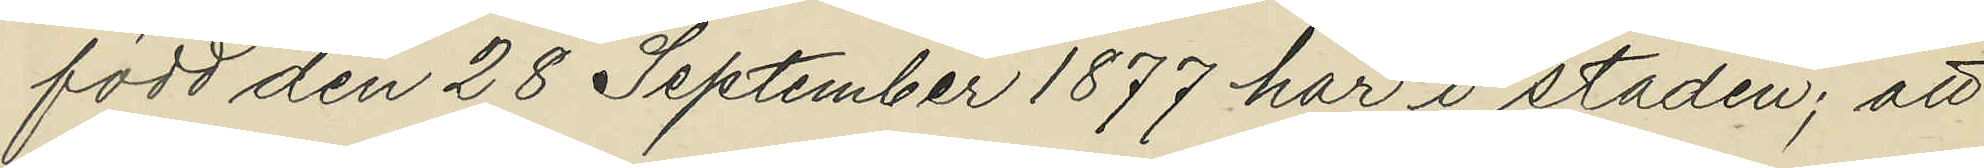född den 28 September 1877 här i staden; att
